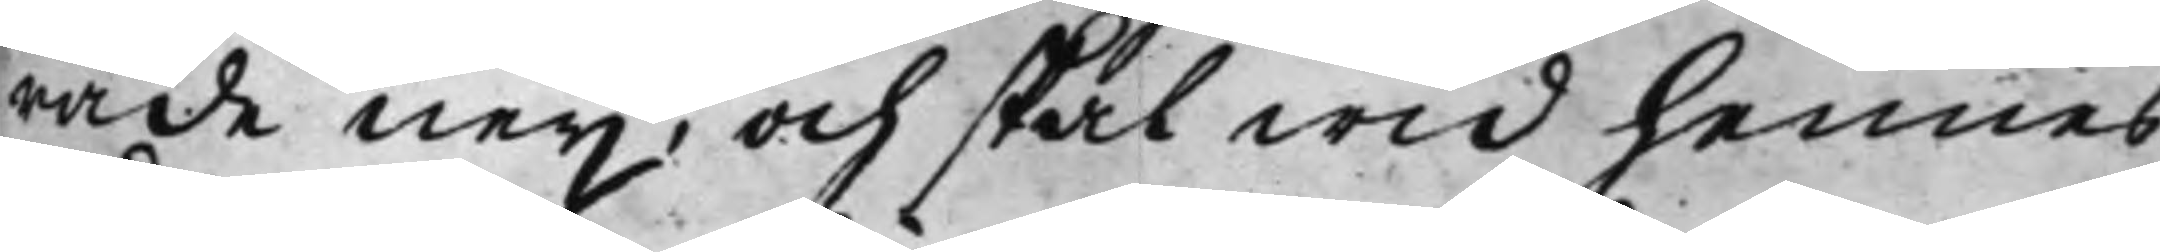rade neij, och skal wid hennes
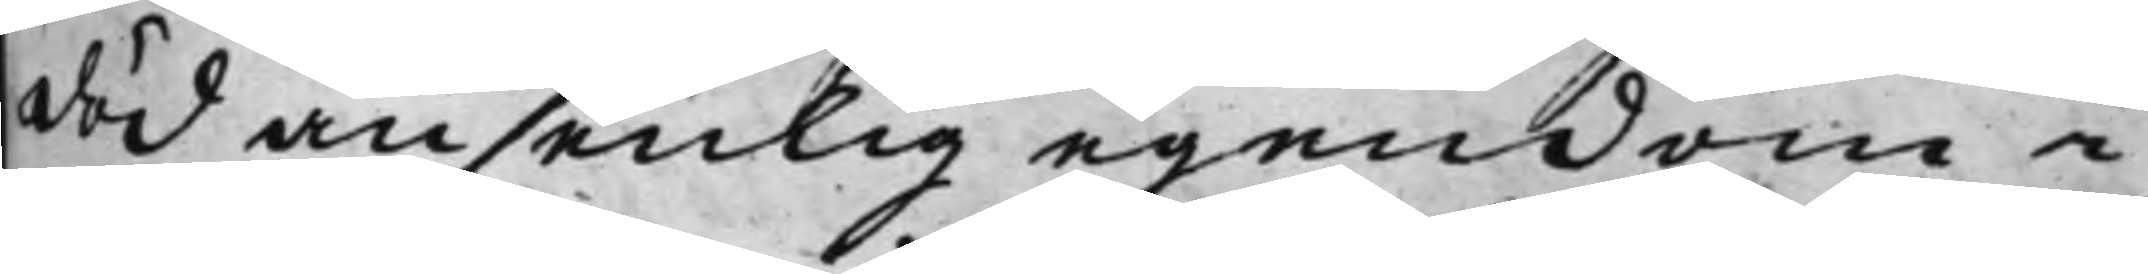död ansenlig egendom i
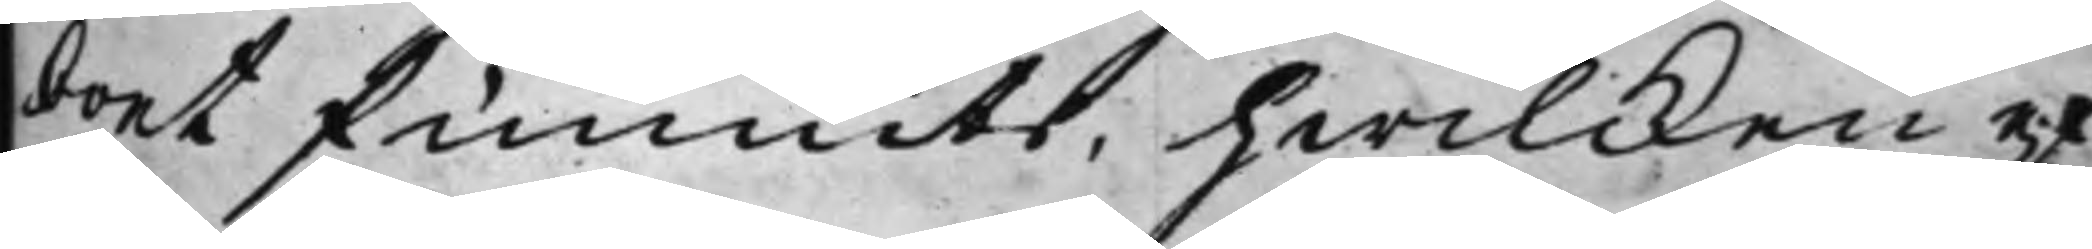boet funnits, hwilcken ef¬
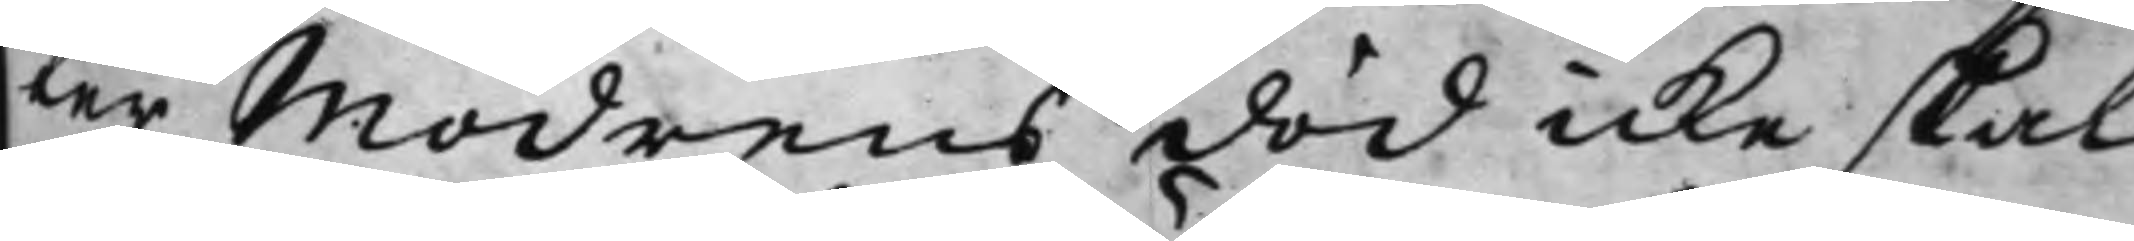ter Modrens död icke skal
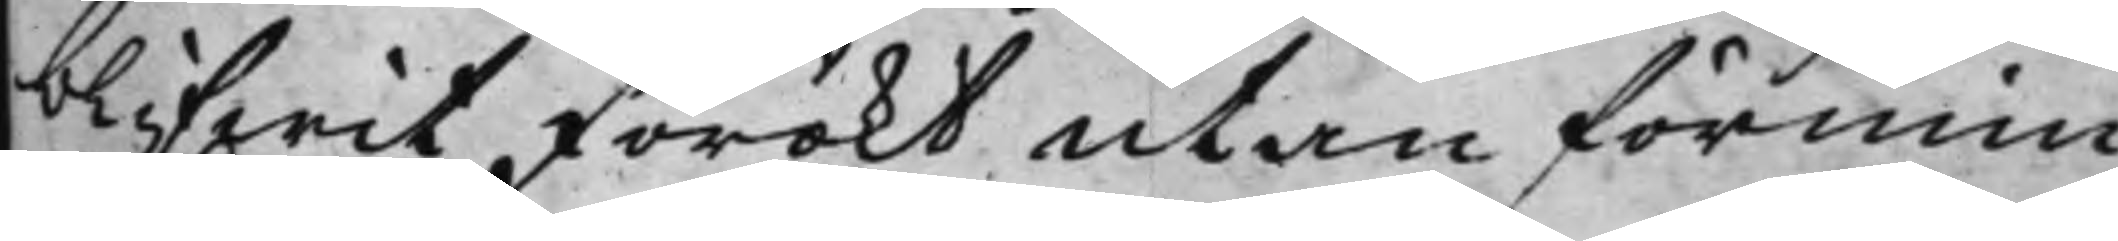blifwit förökt utan förmin¬
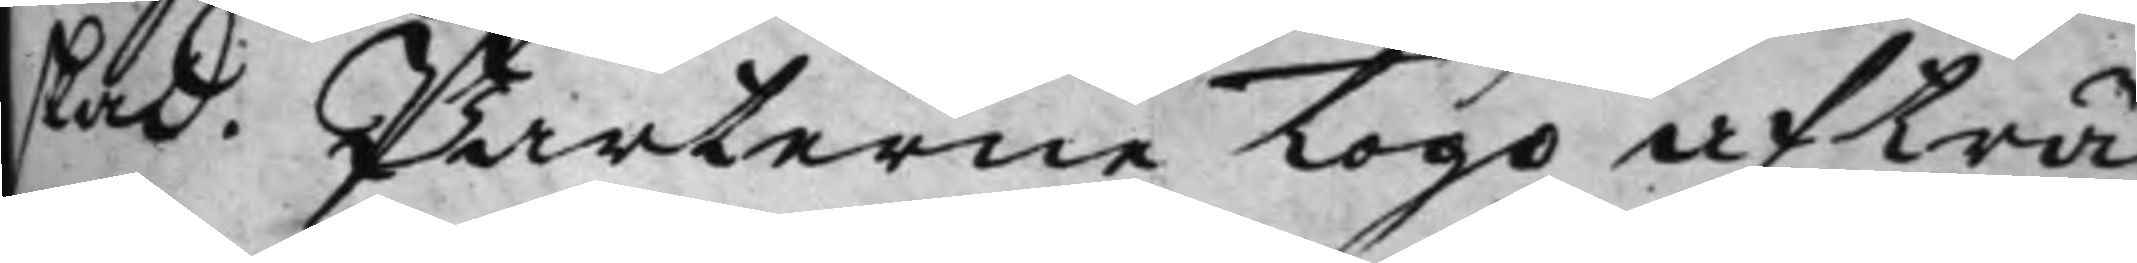skad. Parterne togo afträ¬
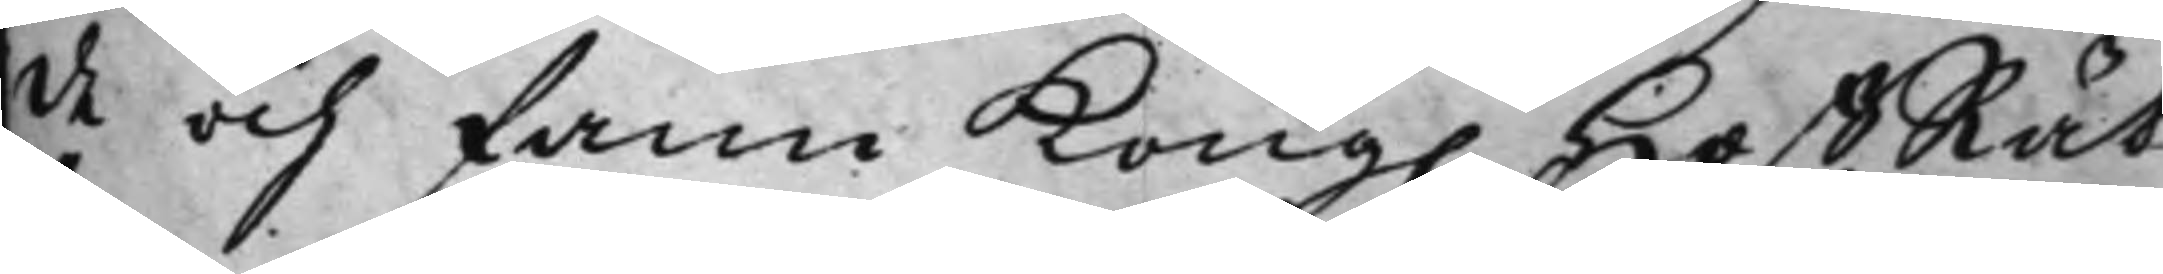de och fann Kong. HoffRät¬
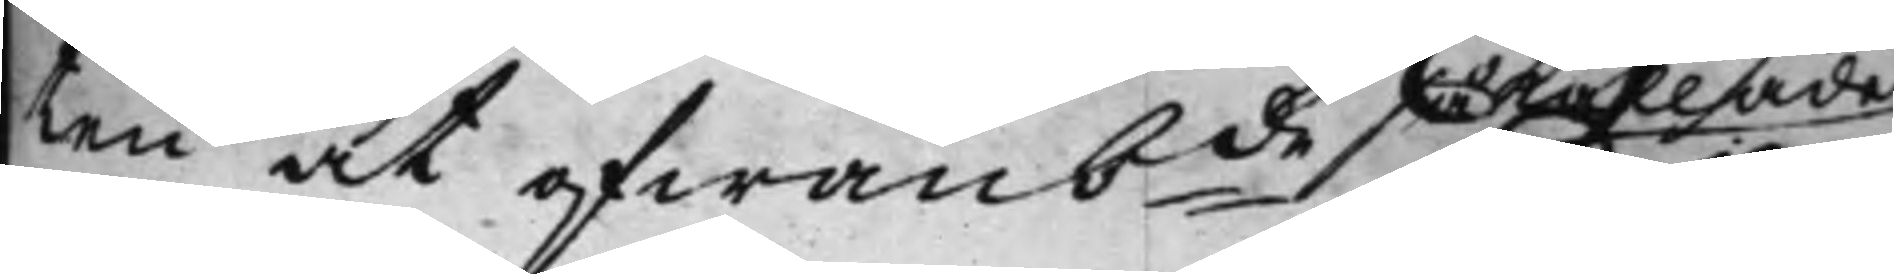ten at ofwanbde så kallade
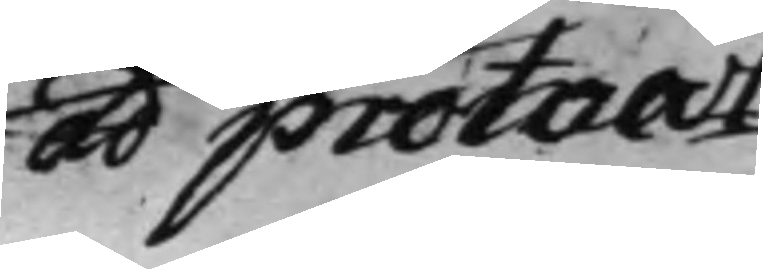ad protocol¬
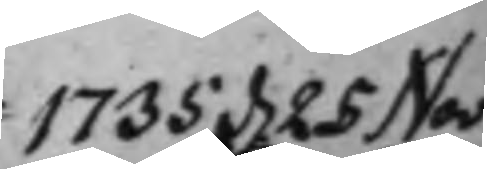1735 d. 25 Nov
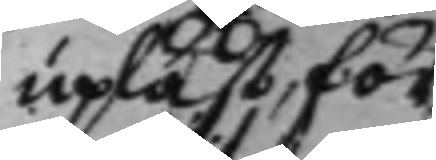upläst, för
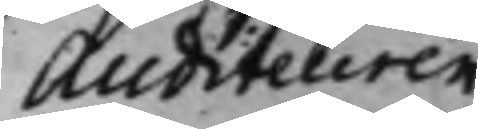Auditeuren
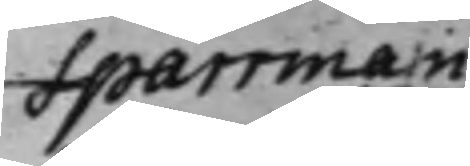Sparrman
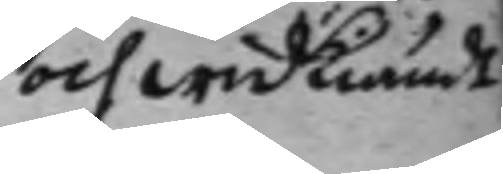och widkiändt
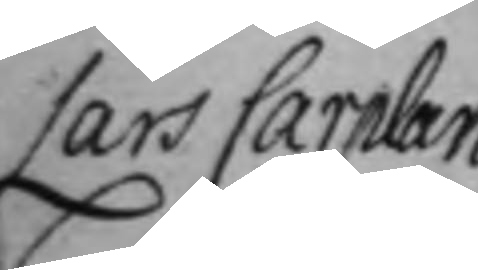Lars Carplan
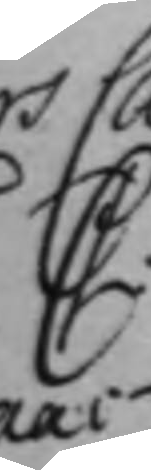C.
